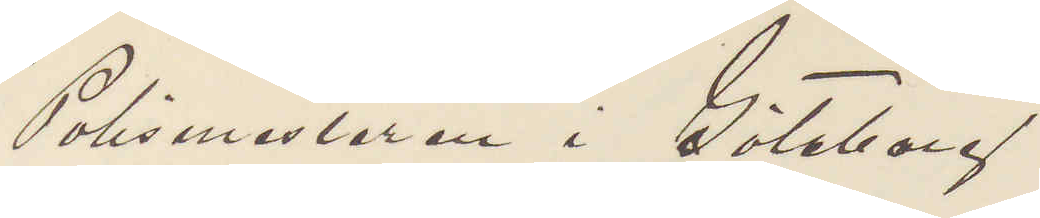Polismästaren i Göteborg.
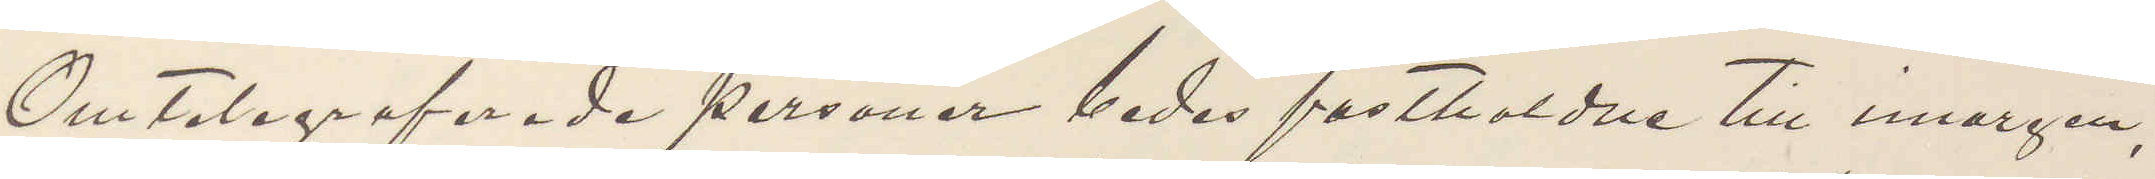Omtelegraferade personer bedes fastholdne till imorgen,
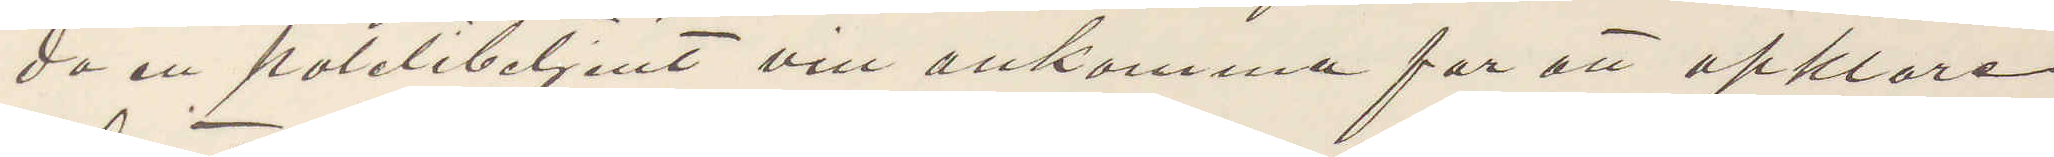då en poletibetjent vill ankomma för att opklare
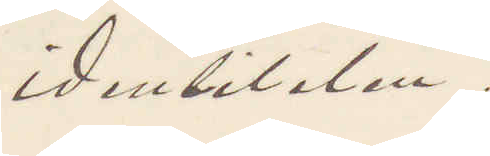identiteten.
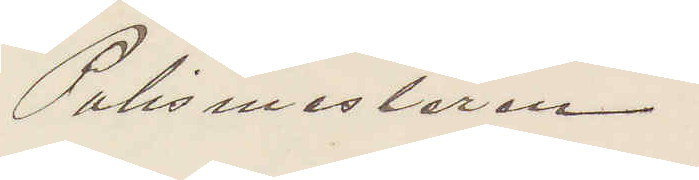Polismesteren.
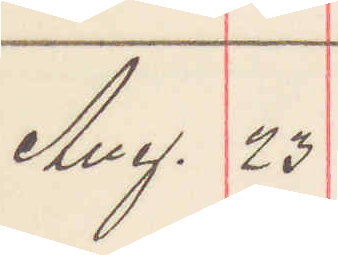Aug. 23
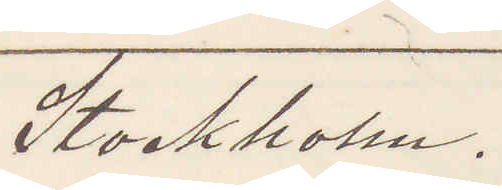Stockholm.
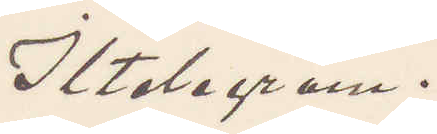Iltelegram.
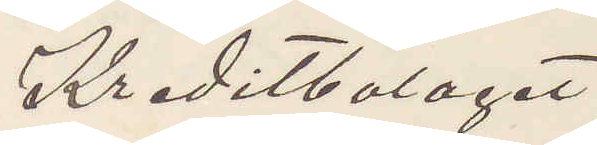Kreditbolaget
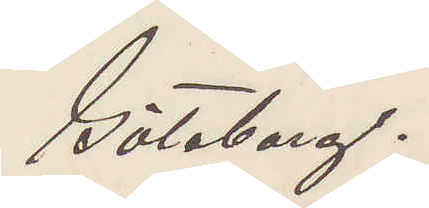Göteborg.
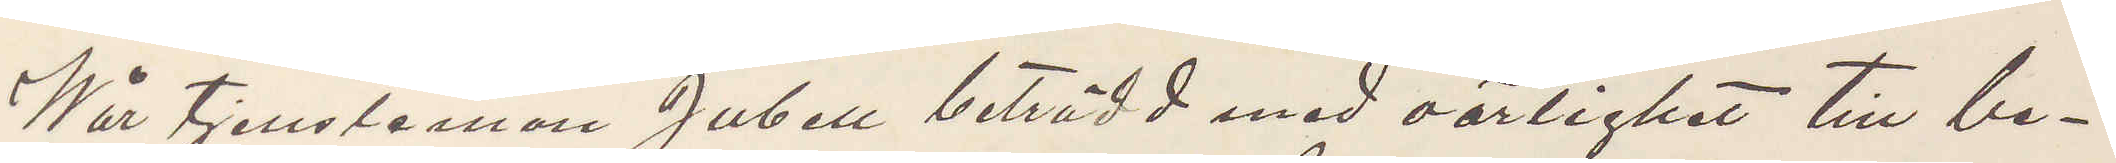Wår tjensteman Jubell beträdd med oärlighet till be¬
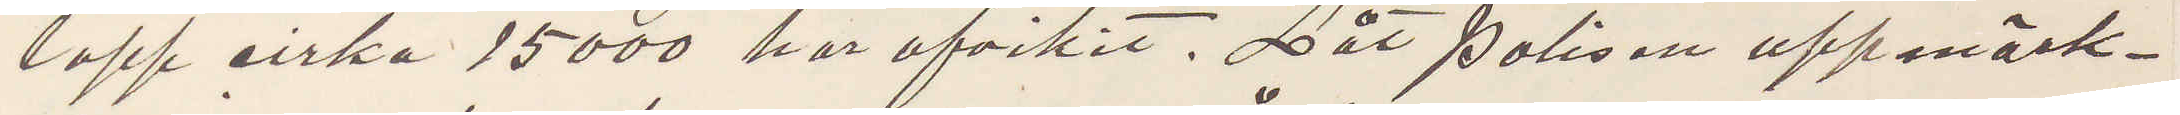lopp cirka 15000 har afvikit. Låt Polisen uppmärk¬
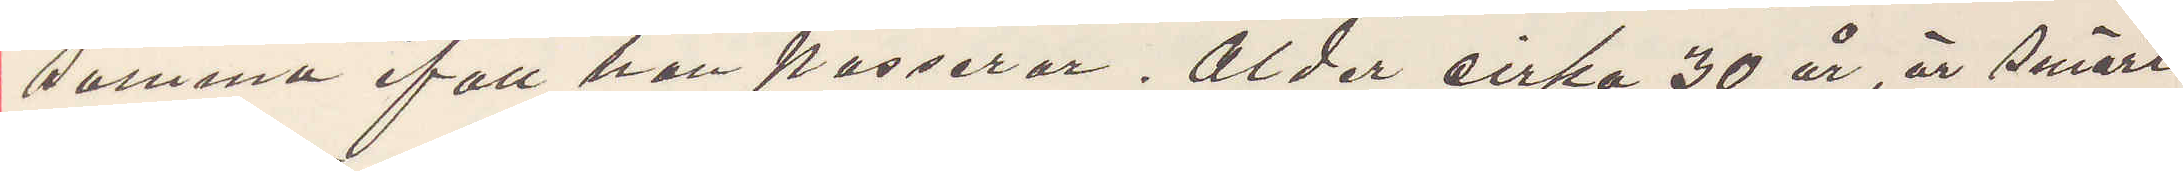samma ifall han passerar. Ålder cirka 30 år, är smärt
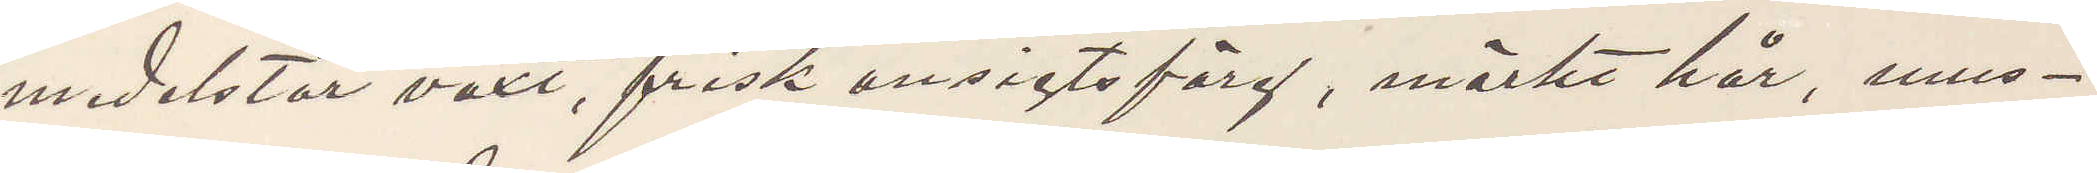medelstor växt, frisk ansigtsfärg, mörkt hår, mus¬
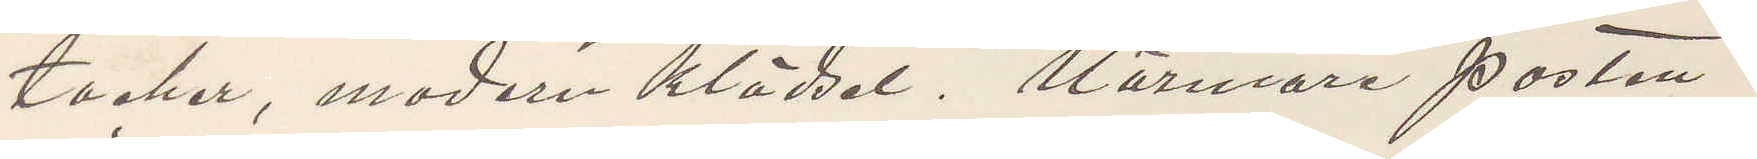tacher, modern klädsel. Närmare posten.
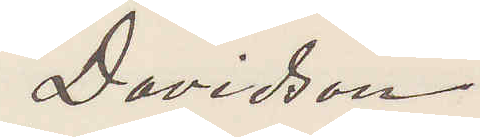Davidson
